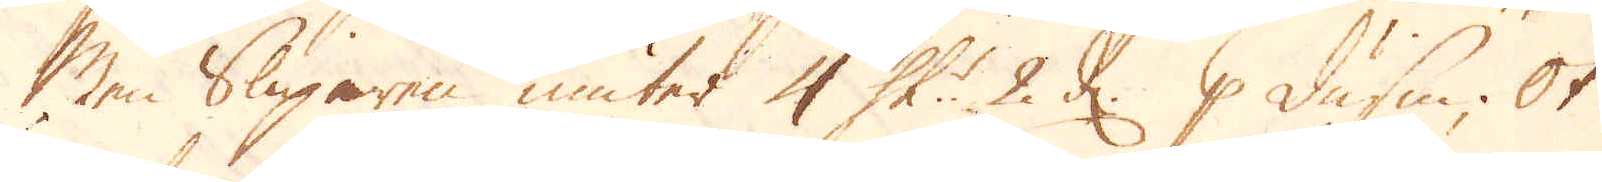Men Sliparen niuter 4 sk: 2 d: p dussin. Ok
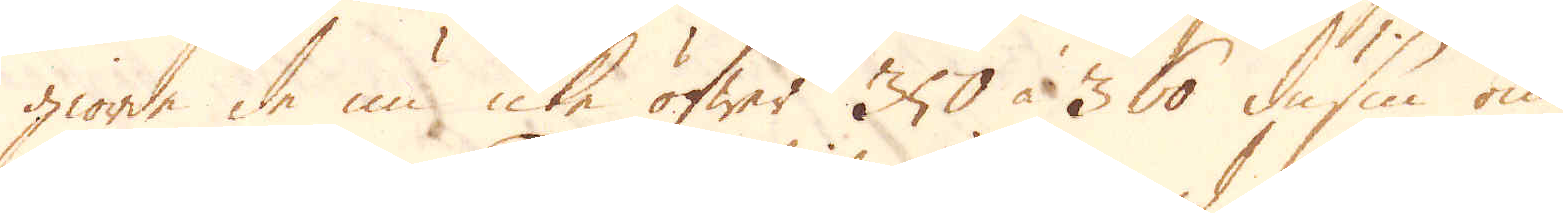giorde de nu icke öfwer 350 à 360 dussin om
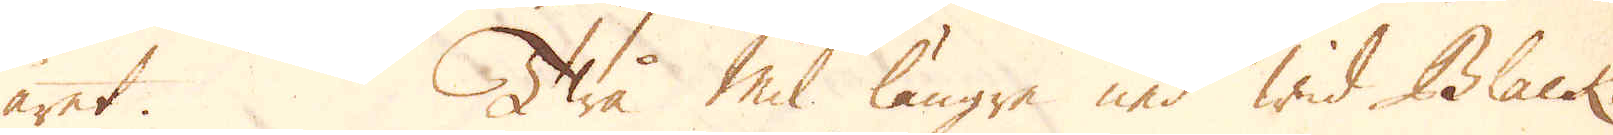året. Twå mil längre ned wid Black-
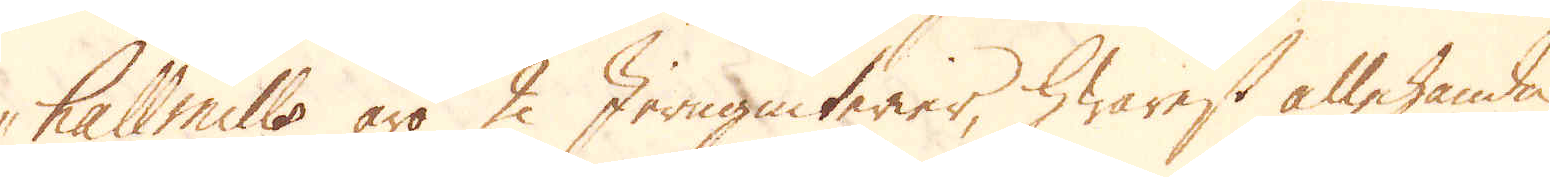hall mills äro 2 Jernguterier, hwarest allehanda
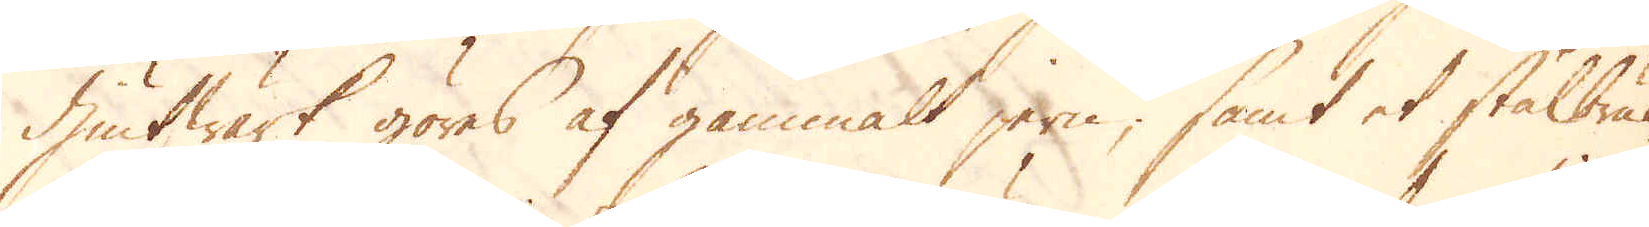Giutwärk göres af gammalt jern; samt et stålbruk
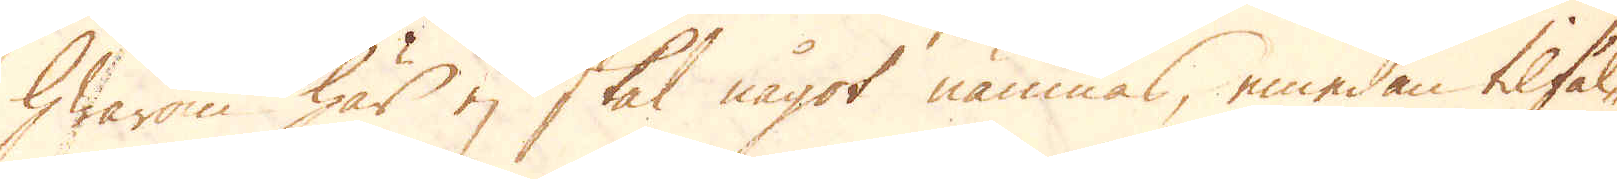hwarom här ej skal något nämnas, emedan tilfäl-
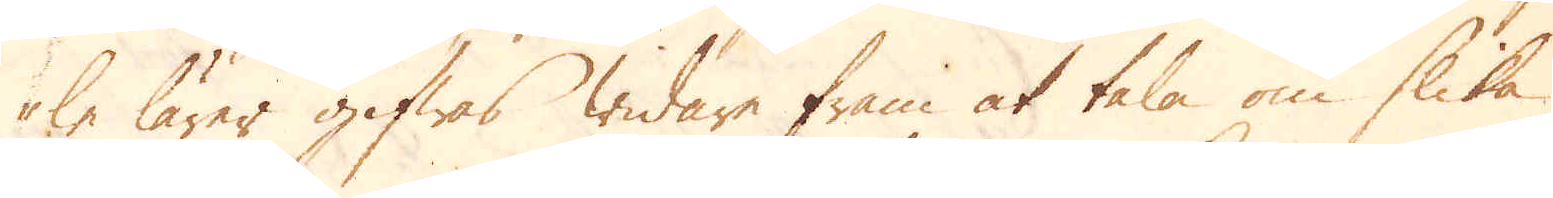le lärer gifwas widare fram at tala om slika
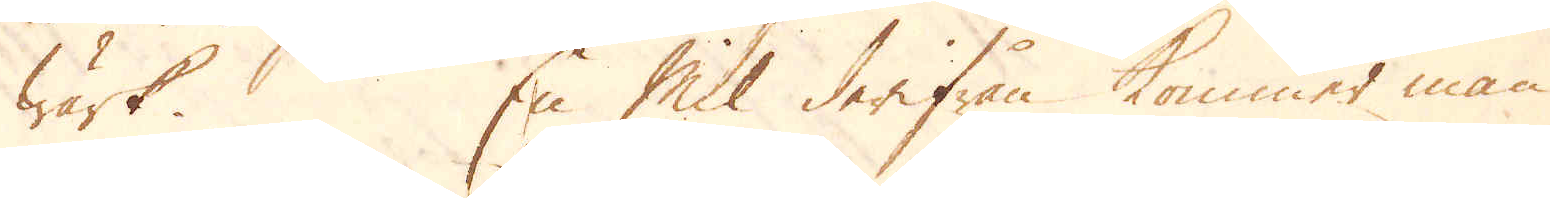wärk. En mil derifrån kommer man
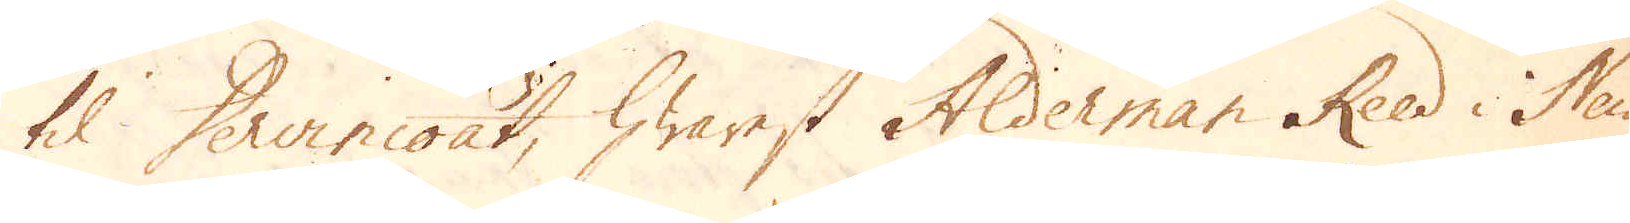til Derricoat, hwarest Alderman Reed i New-
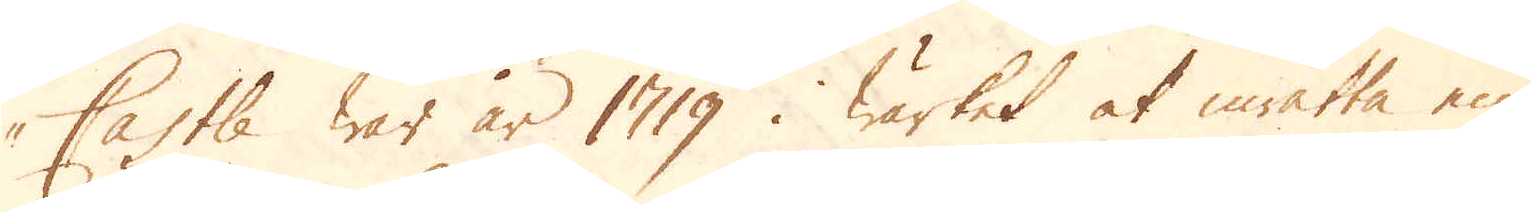Castle war år 1719. Wärket at inrätta en
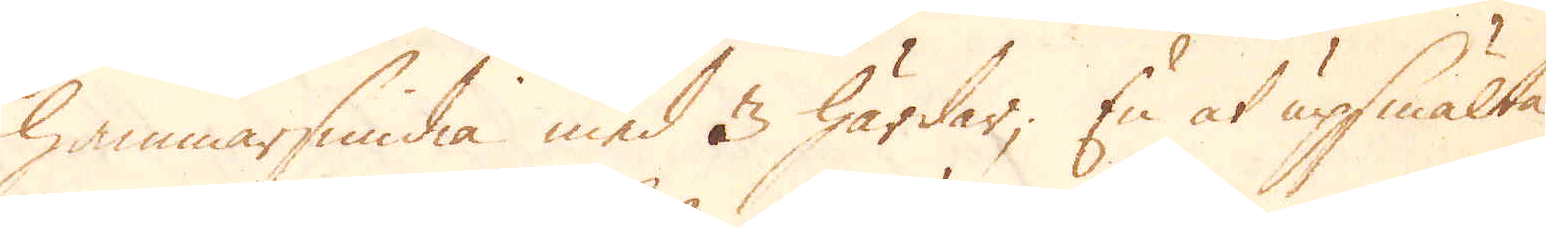hammarsmedia med 3 härdar; En at upsmälta
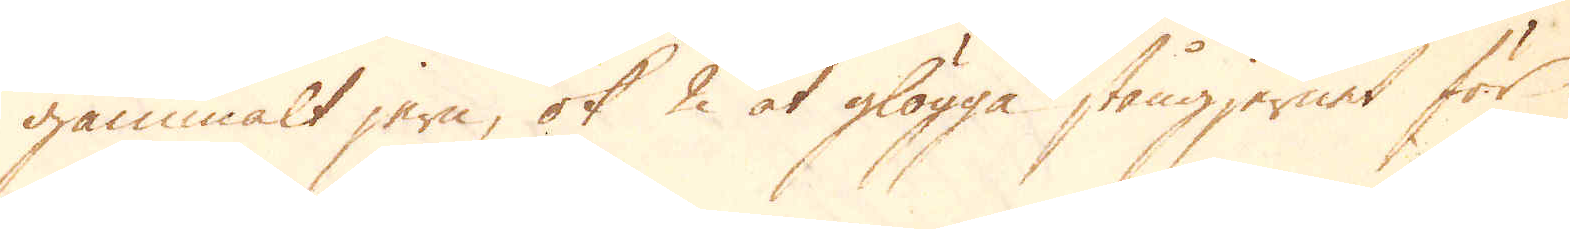gammalt jern, ok 2 at glögga stångjernet för
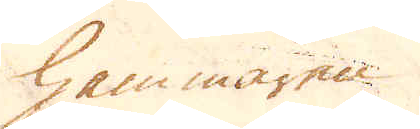hammaren.
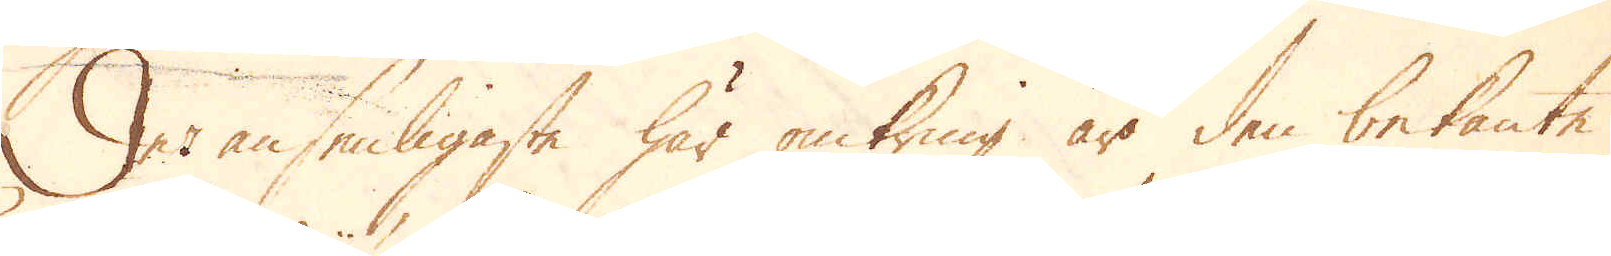Det ansenligaste här omkring är den bekante
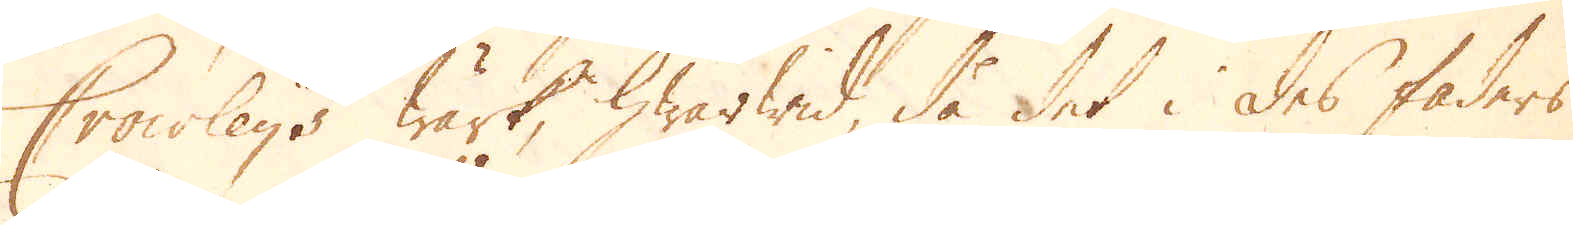Crowleys wärk, hwarwid, då det i des faders
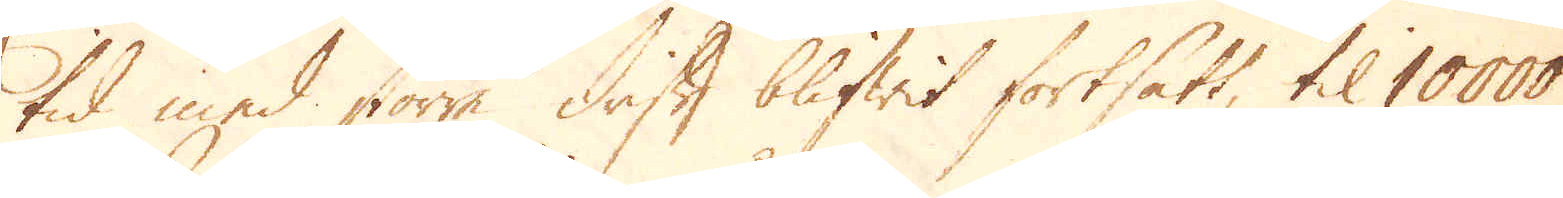tid med större drift blifwit fortsatt, til 10000
